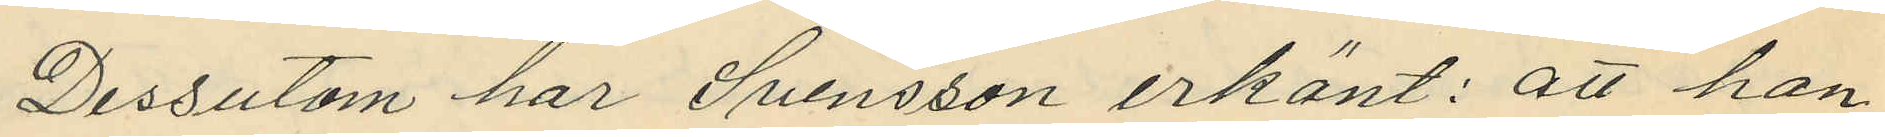Dessutom har Svensson erkänt: att han
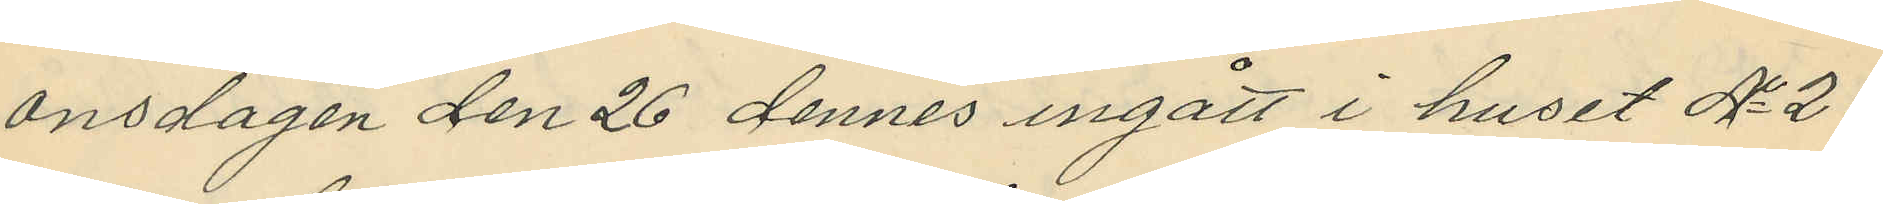onsdagen den 26 dennes ingått i huset No 21
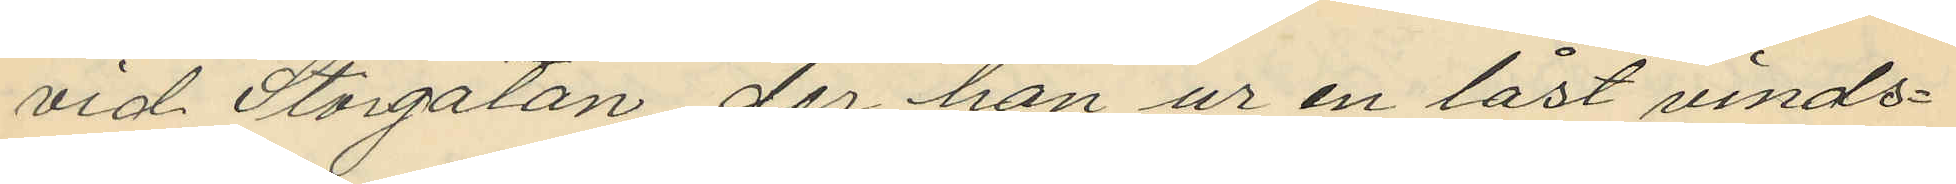vid Storgatan, der han ur en låst vinds¬
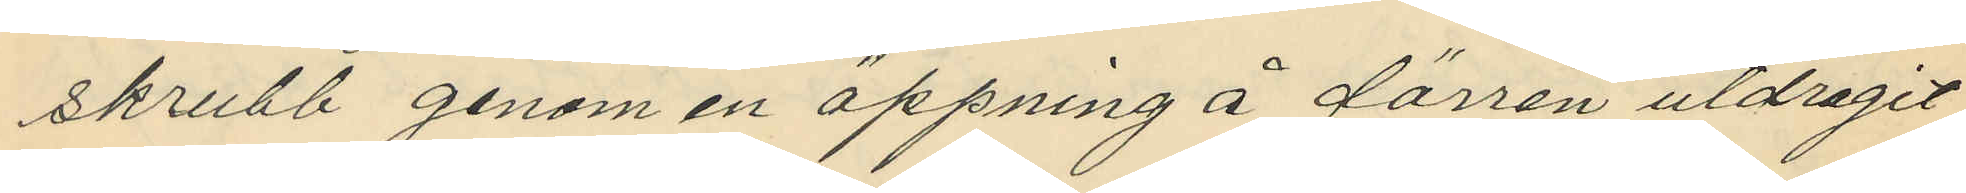skrubb genom en öppning å dörren utdragit
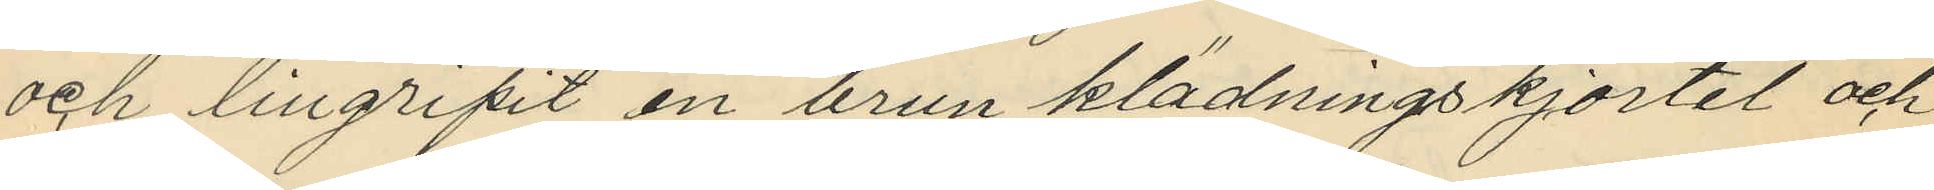och tillgripit en brun klädningskjortel och
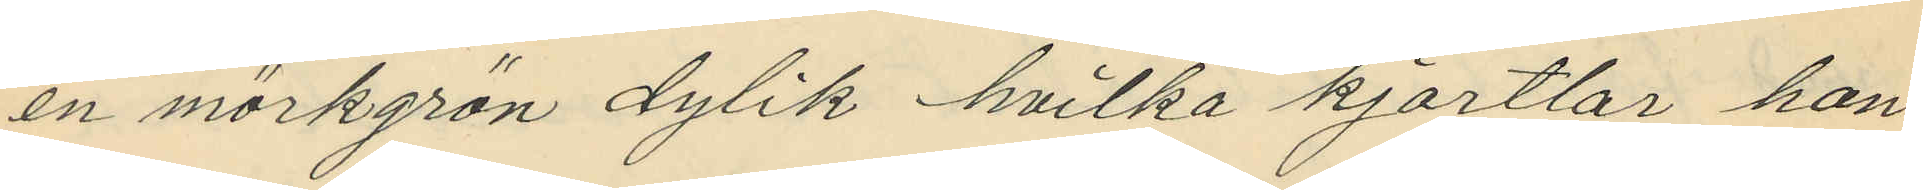en mörkgrön dylik hvilka kjortlar han
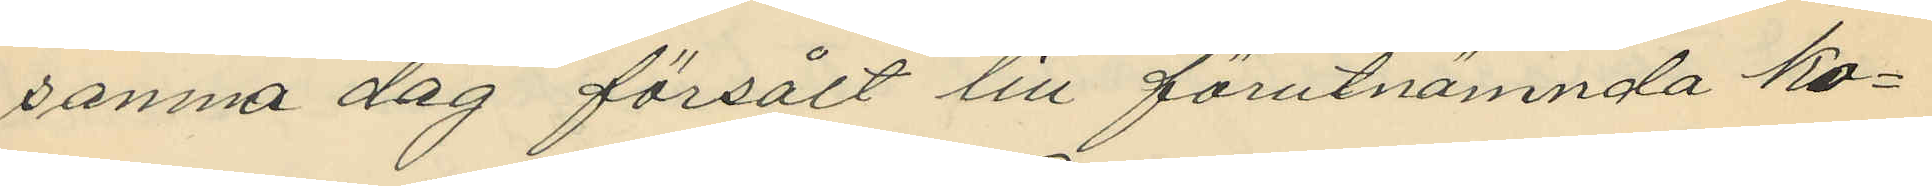samna dag försålt till förutnämnda ko¬
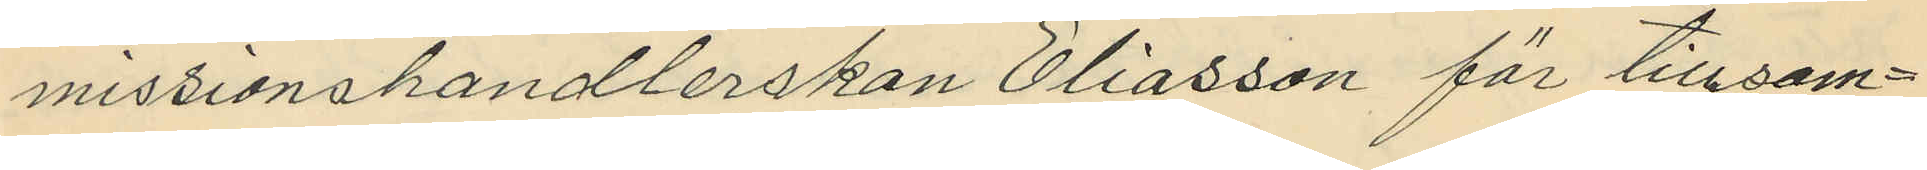missionshandlerskan Eliasson för tillsam¬
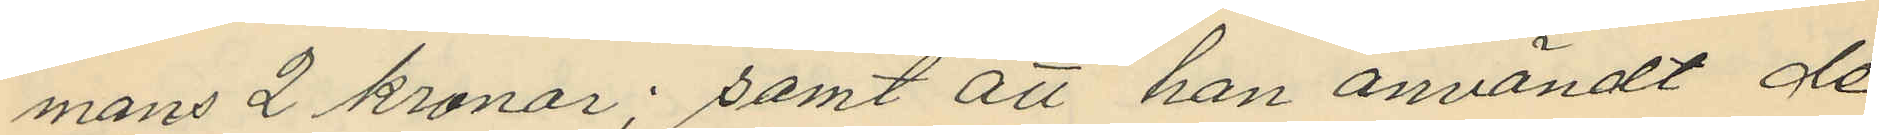mans 2 kronor; samt att han användt de
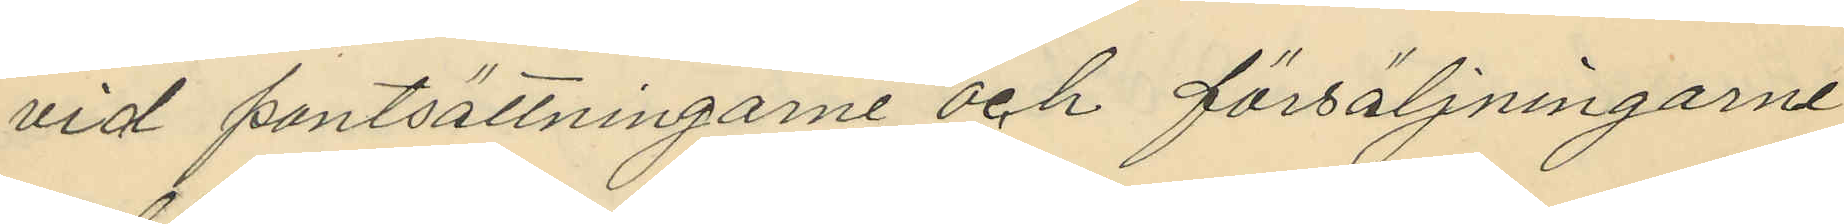vid pantsättningarne och försäljningarne
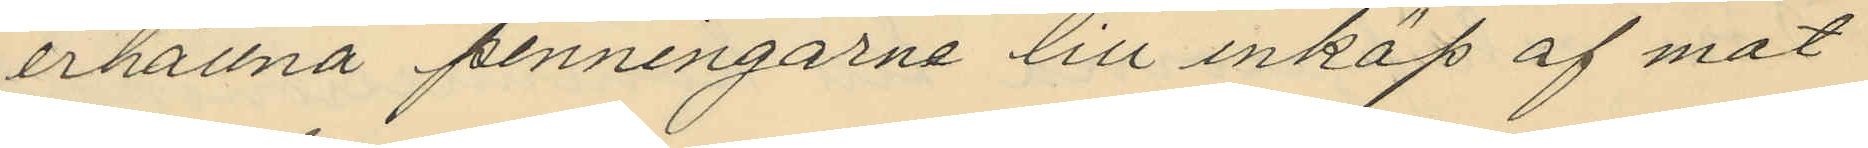erhållna penningarne till inköp af mat
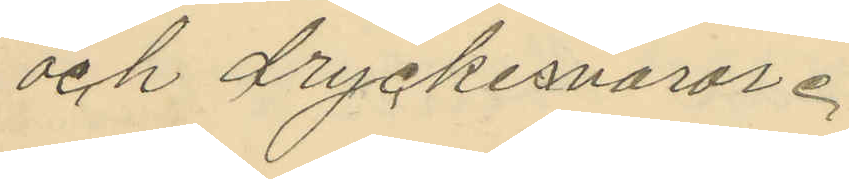och dryckesvaror.
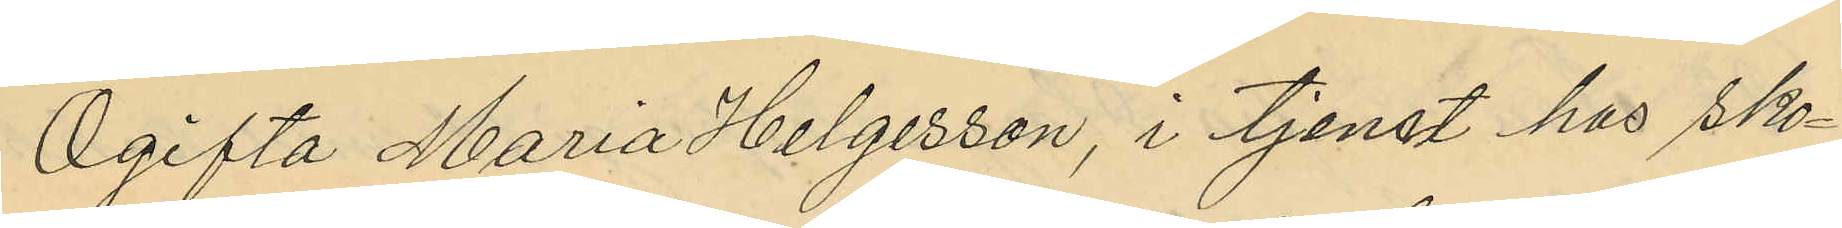Ogifta Maria Helgesson, i tjenst hos Sko¬
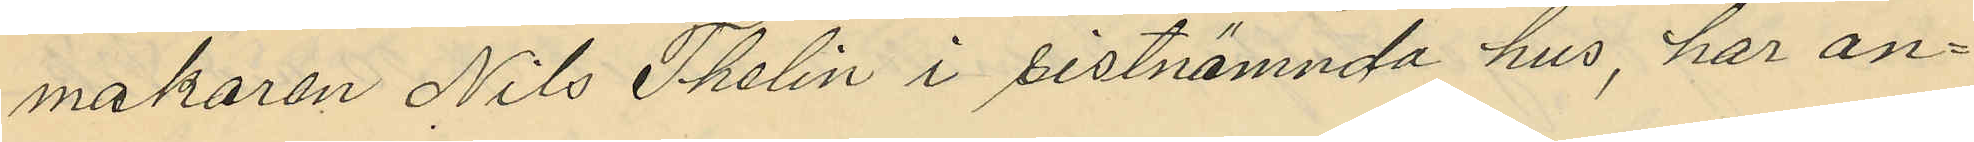makaren Nils Thelin i sistnämnda hus, har an¬
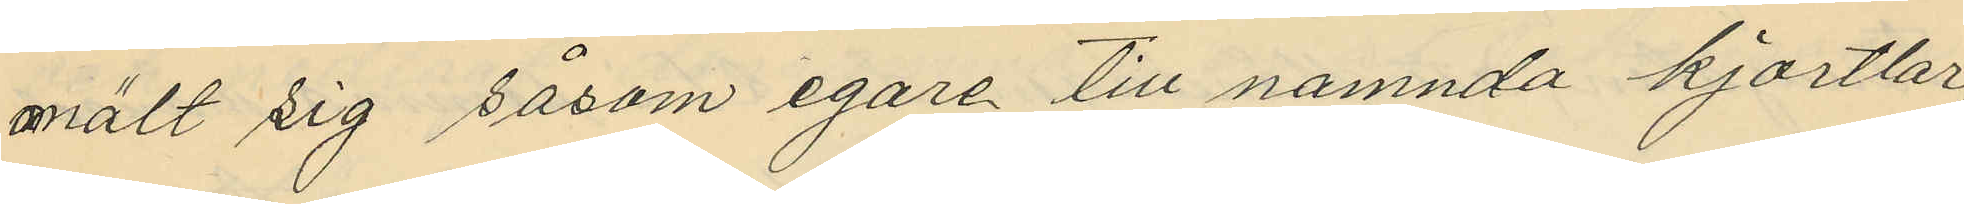mält sig såsom egare till nämnda kjortlar
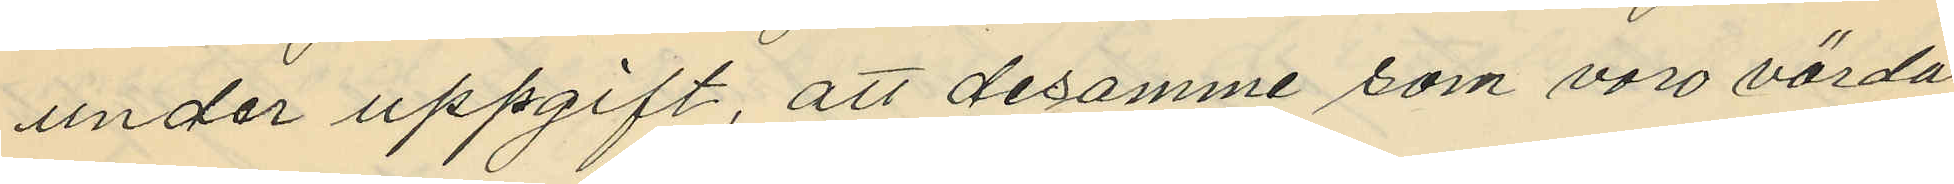under uppgift, att desamme som voro värda
